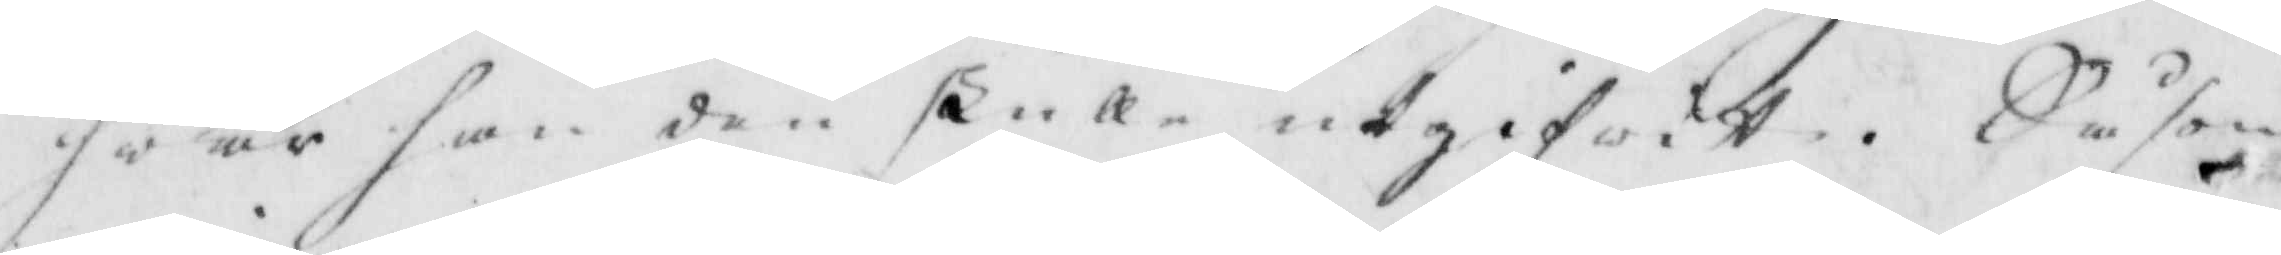hwar han den skulle utgifwit. Såsom
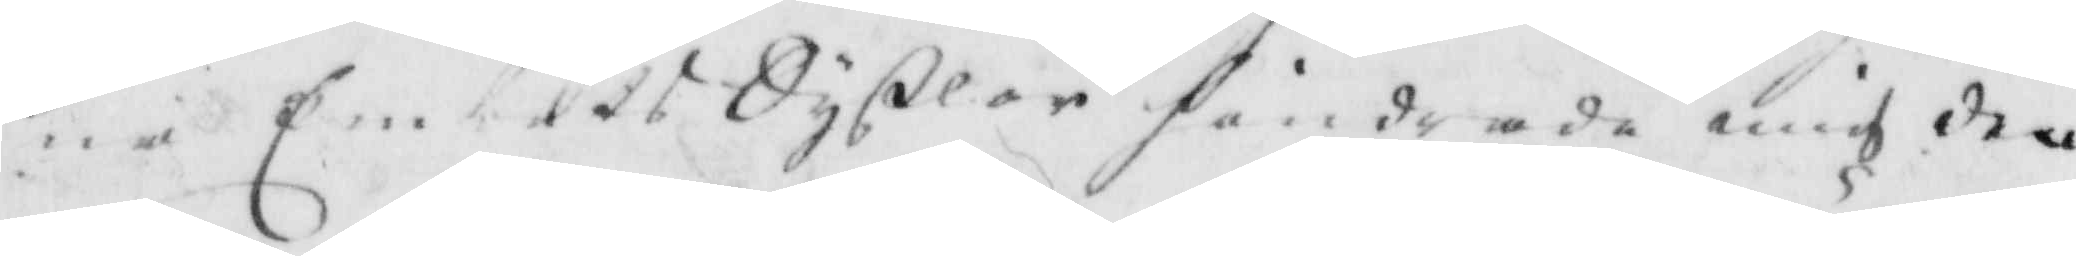mina Embetts Syßlor hindrade mig den
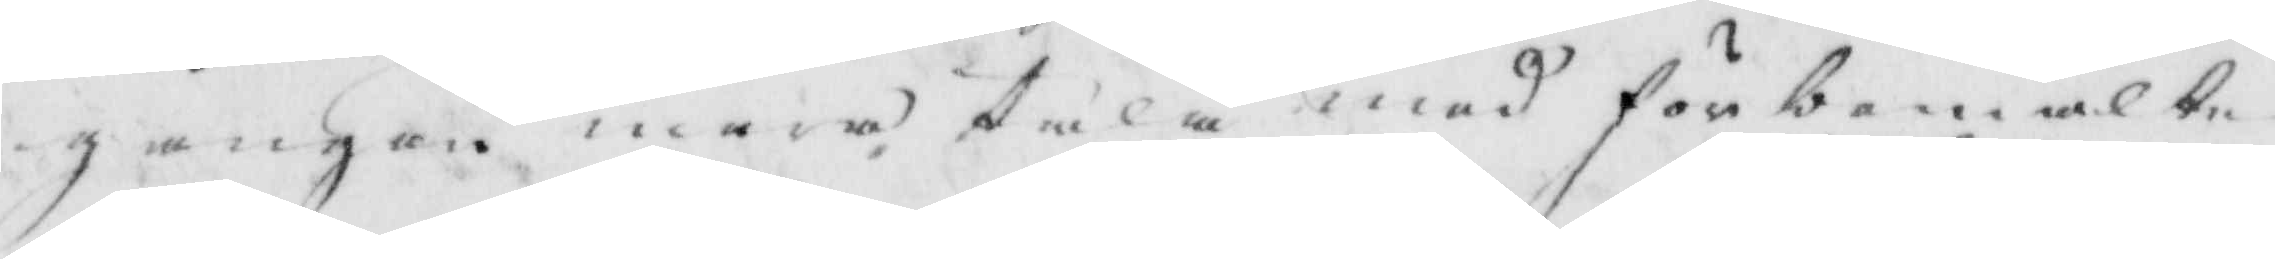gången mera tala med förbemälte
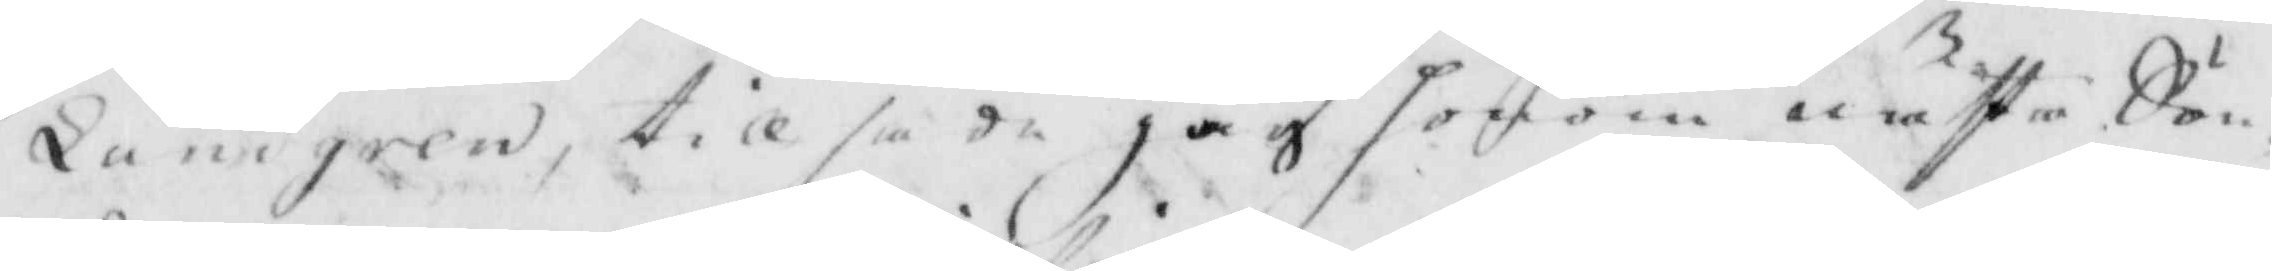Landgren, till sade jag honom näste Sön¬
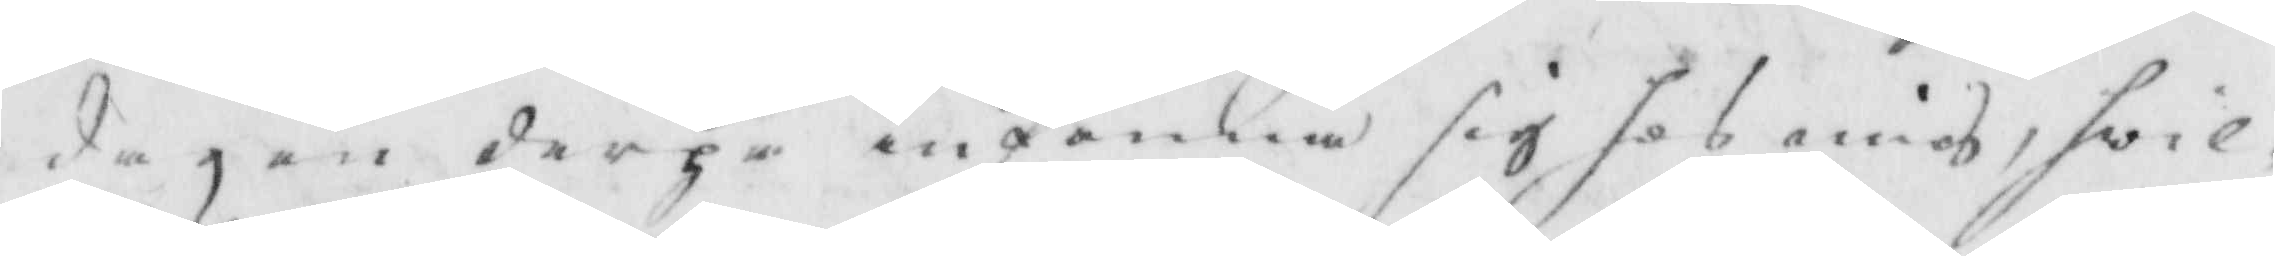dagen derpå infinna sig hos mig, hwil¬
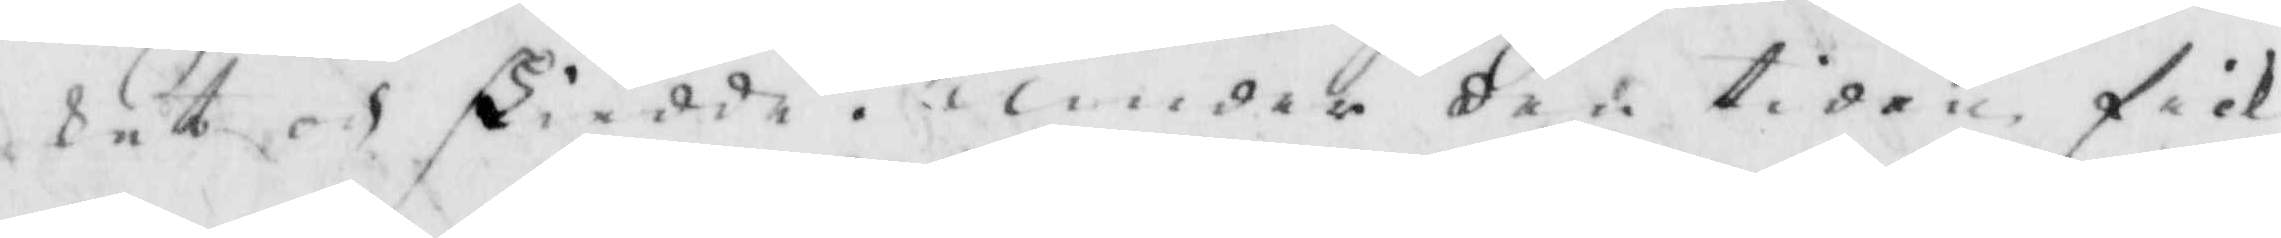det och skiedde, under den tiden fick
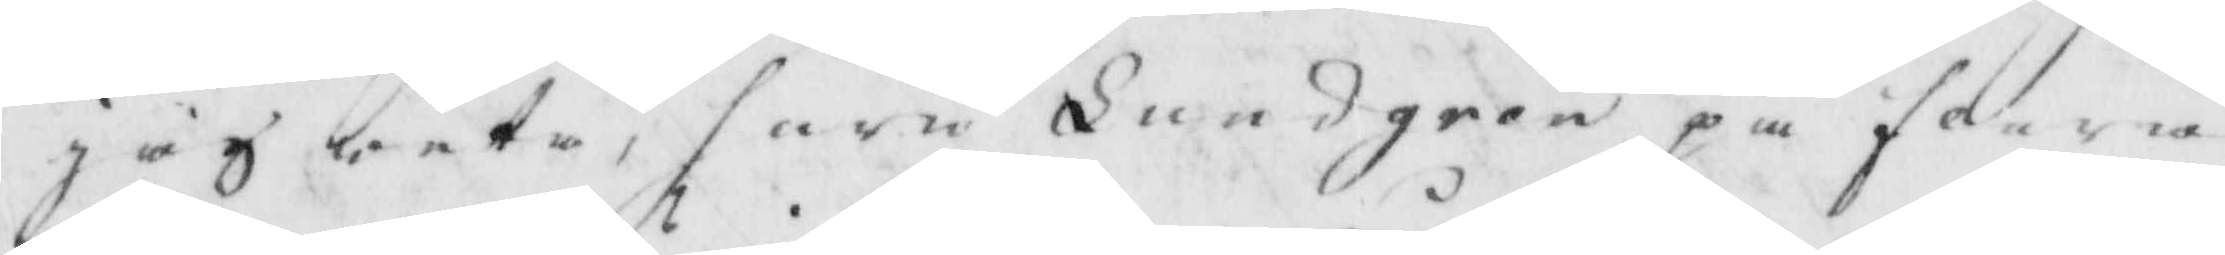jag weta, huru Lundgren på flera
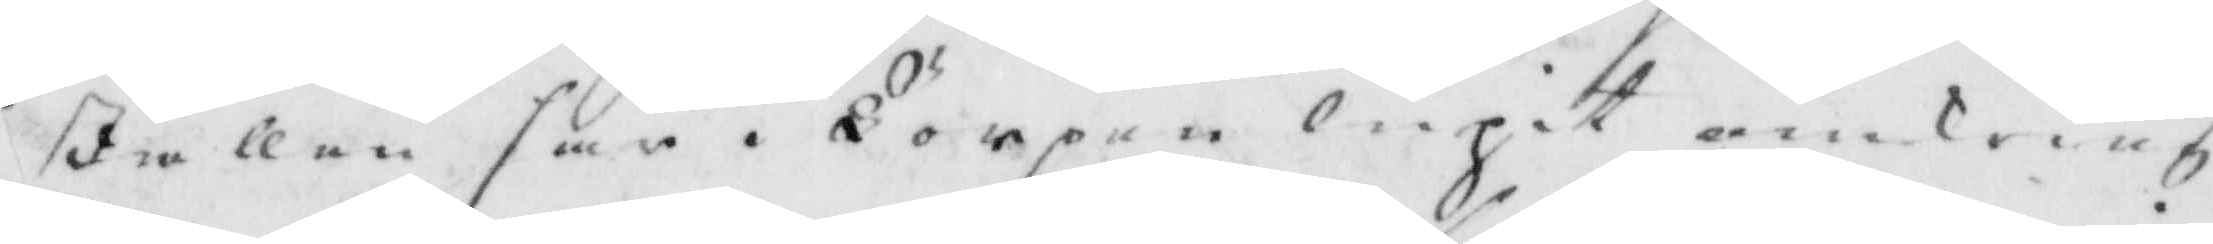ställen här i Torpen lupit omkring
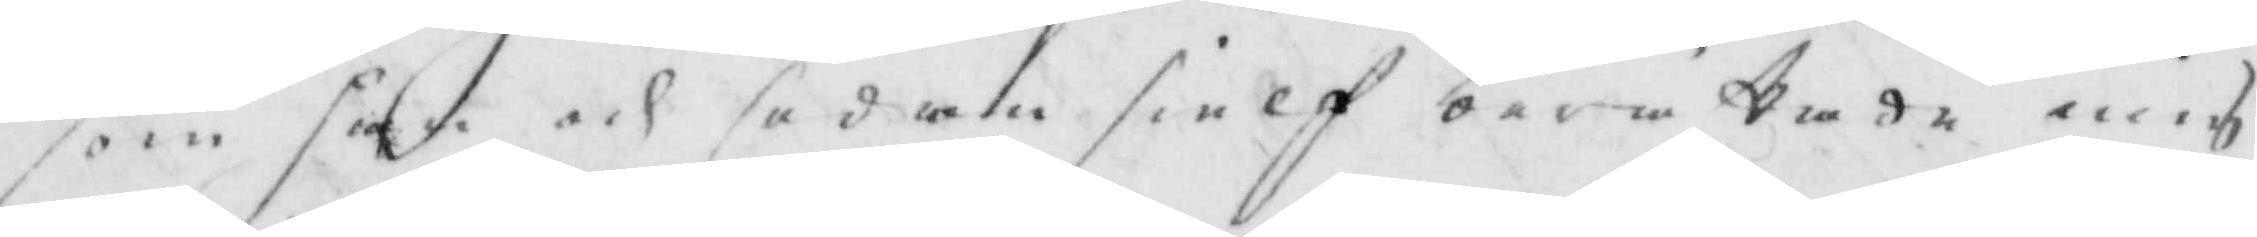som han och sedan sielf berättade mig
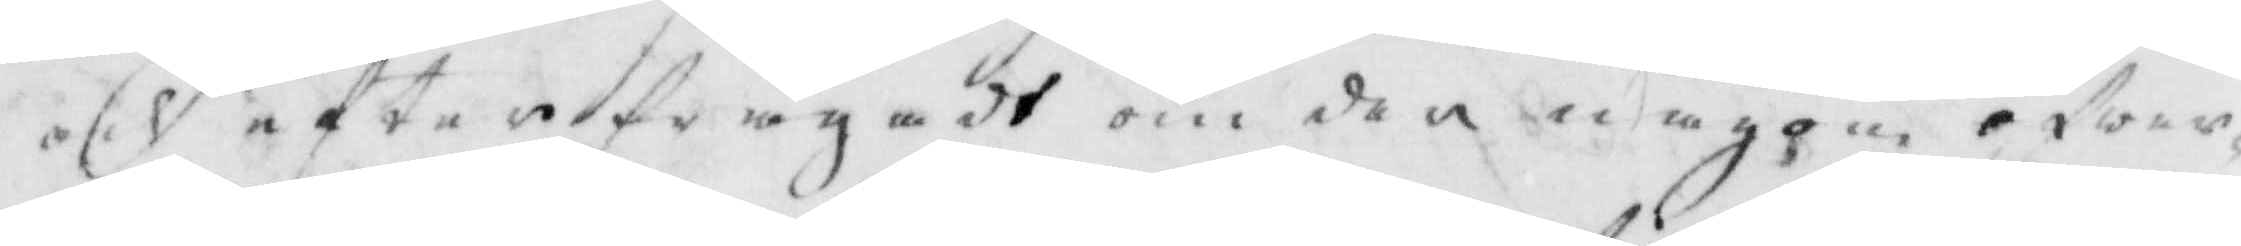och efterfrågadt om dee någon öfwer¬
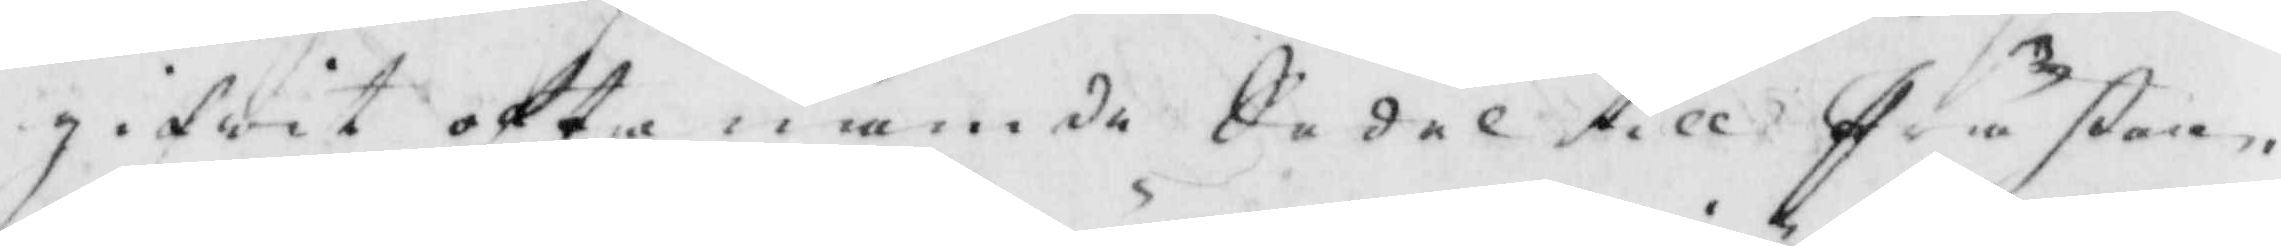gifwit ofta nämde Sedel till Prästen,
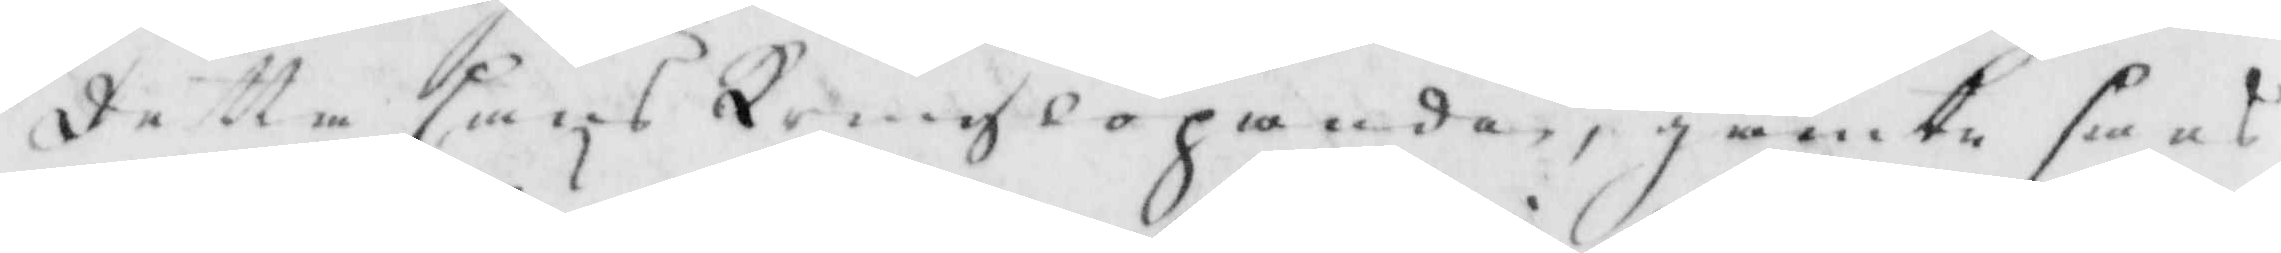detta hans kringlöpande, jämte hans
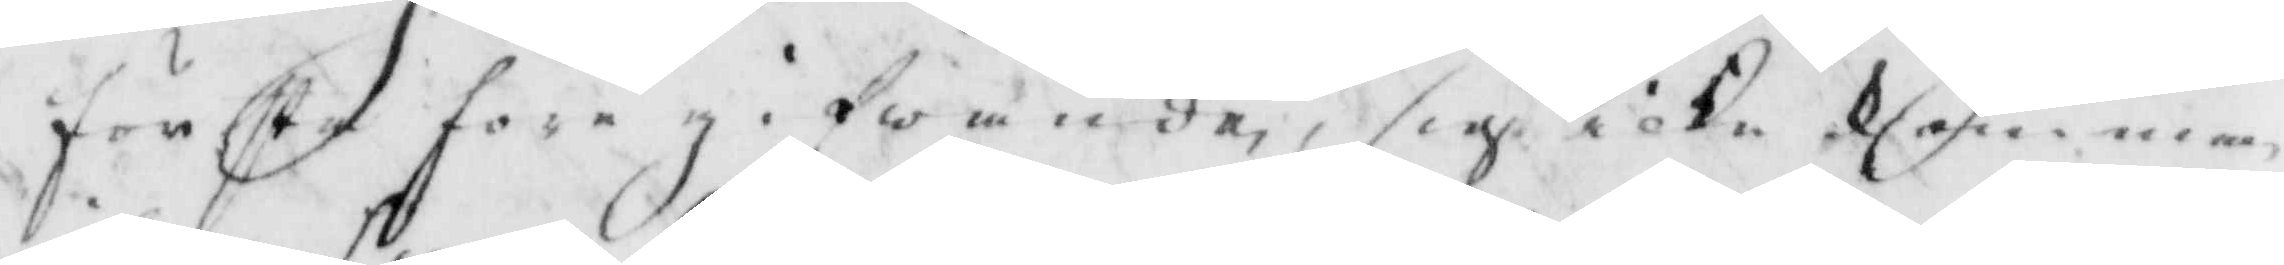första före gifwande, sigh icke komma
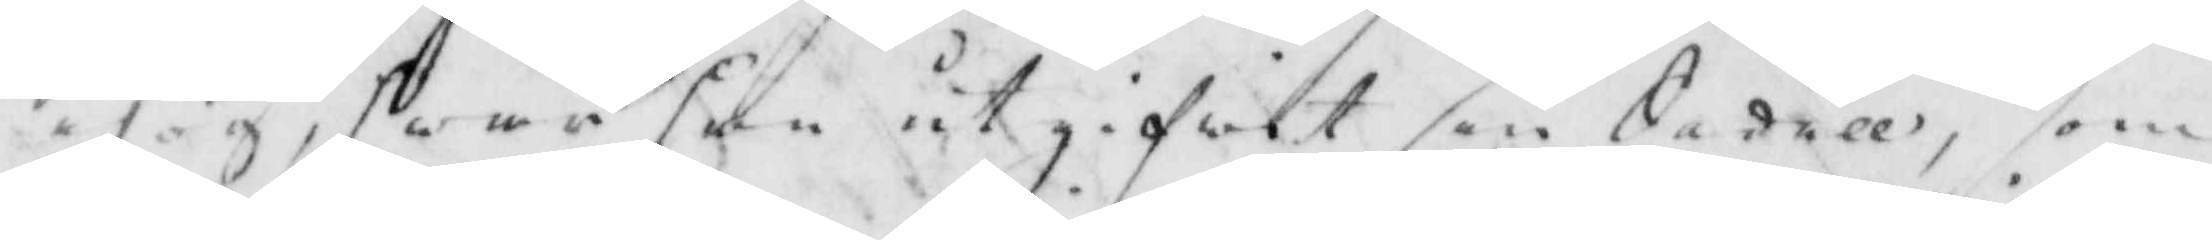ihog, hwar han utgifwit sin Sedell, som
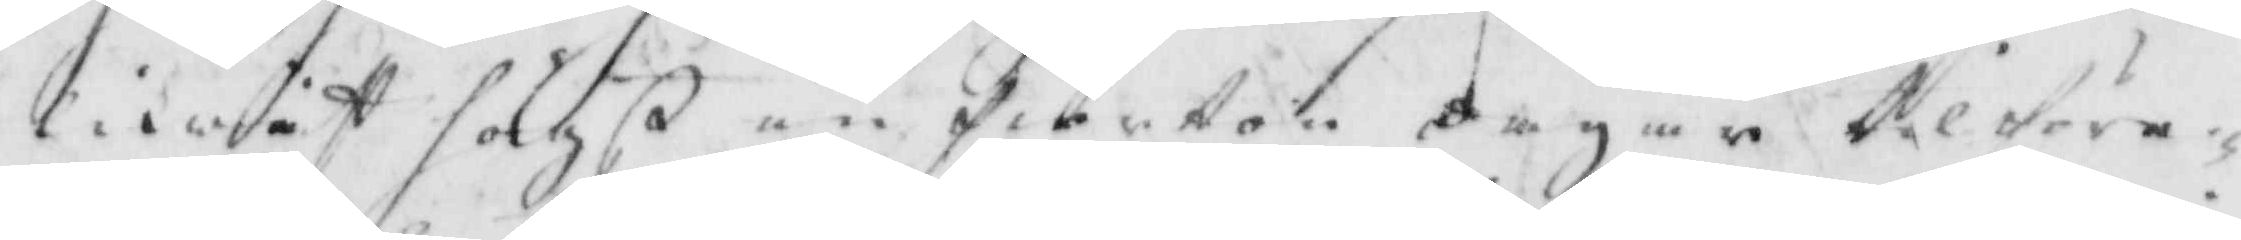likwist sagß än fiorton dagar tillföre¬
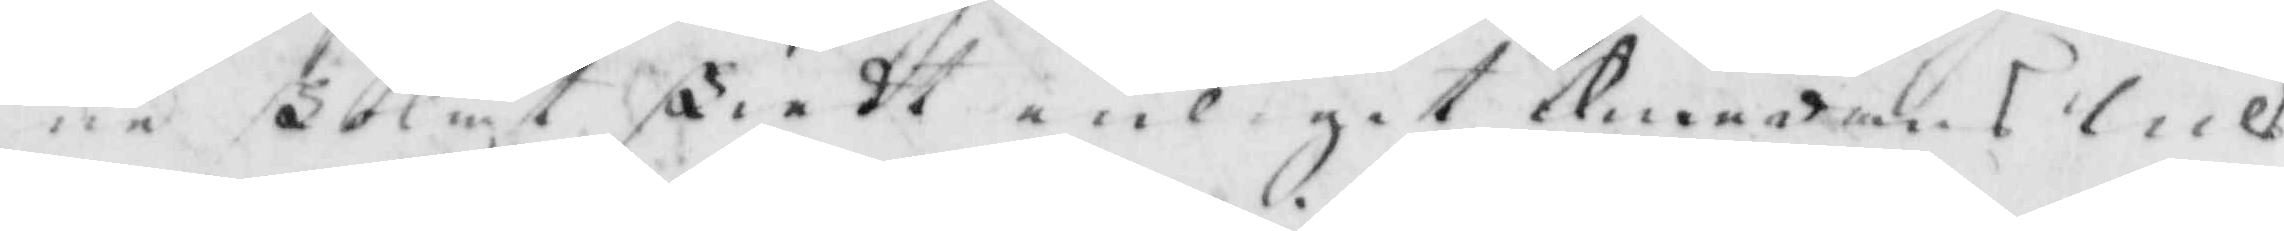ne skolat skiedt enligit medans nils
